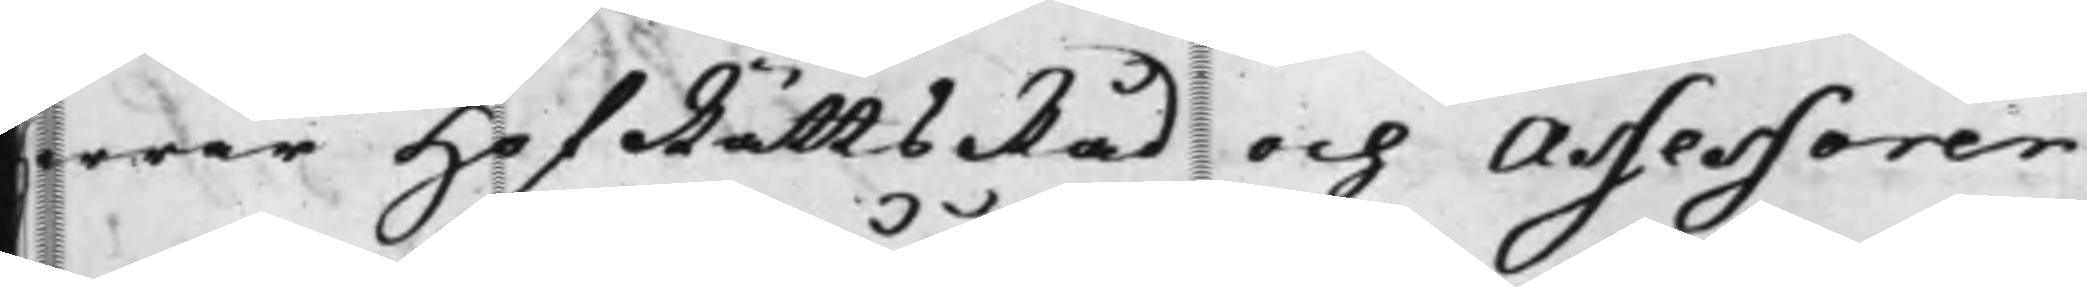Herrar HofRättsRåd och Assessorer
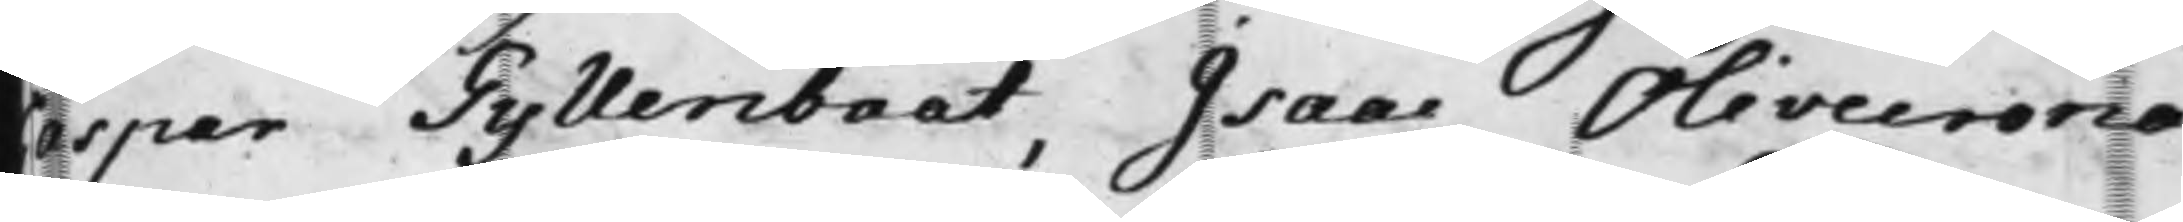Caspar Gyllenbååt, Isaac Olivecrona
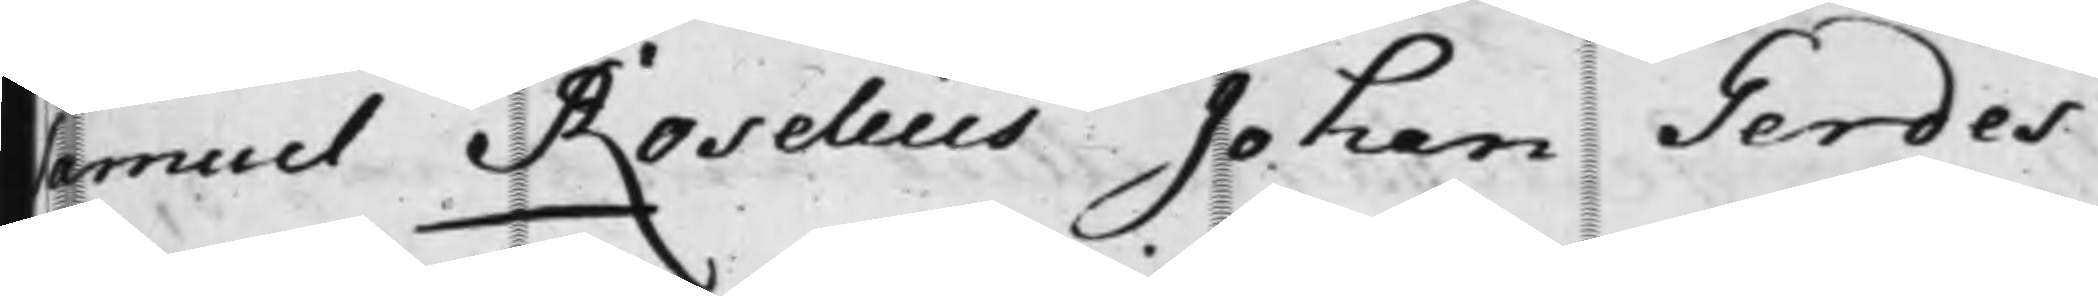Samuet Roselius Johan Gerdes
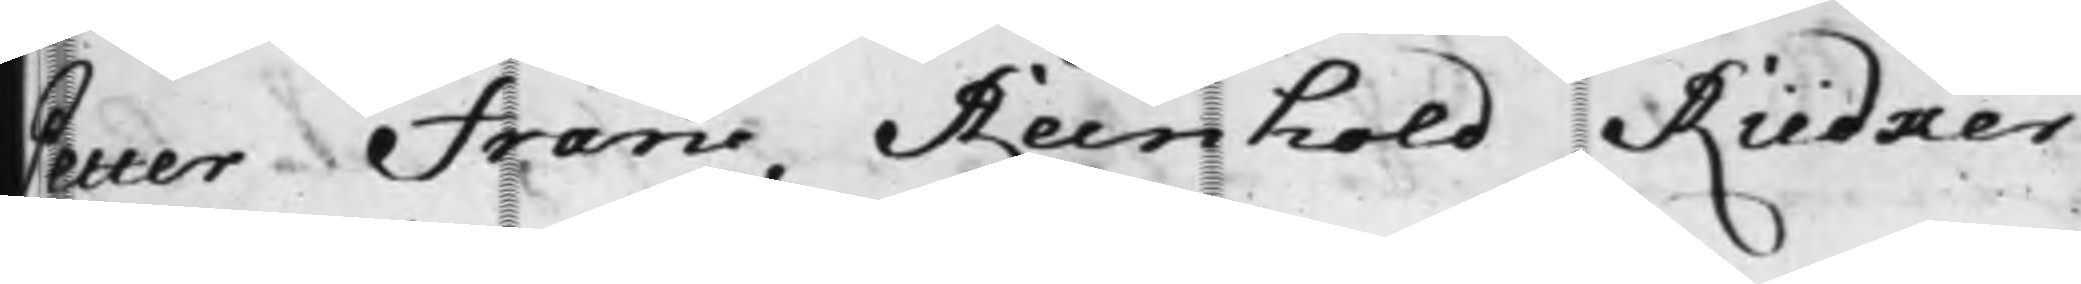Petter Francc Reinhold Rüdmer
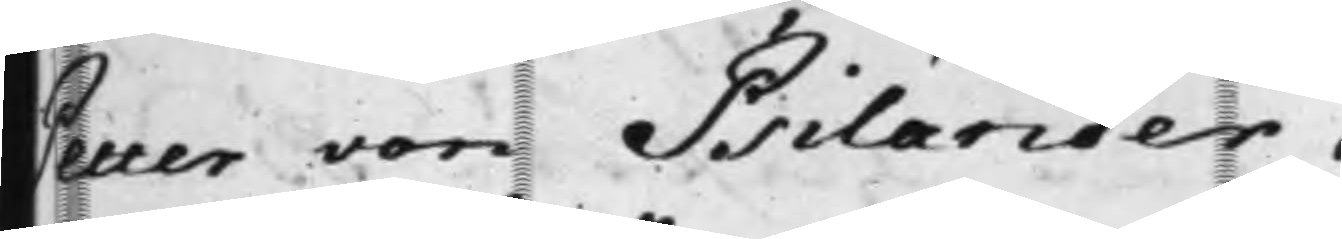Petter von Psilander.
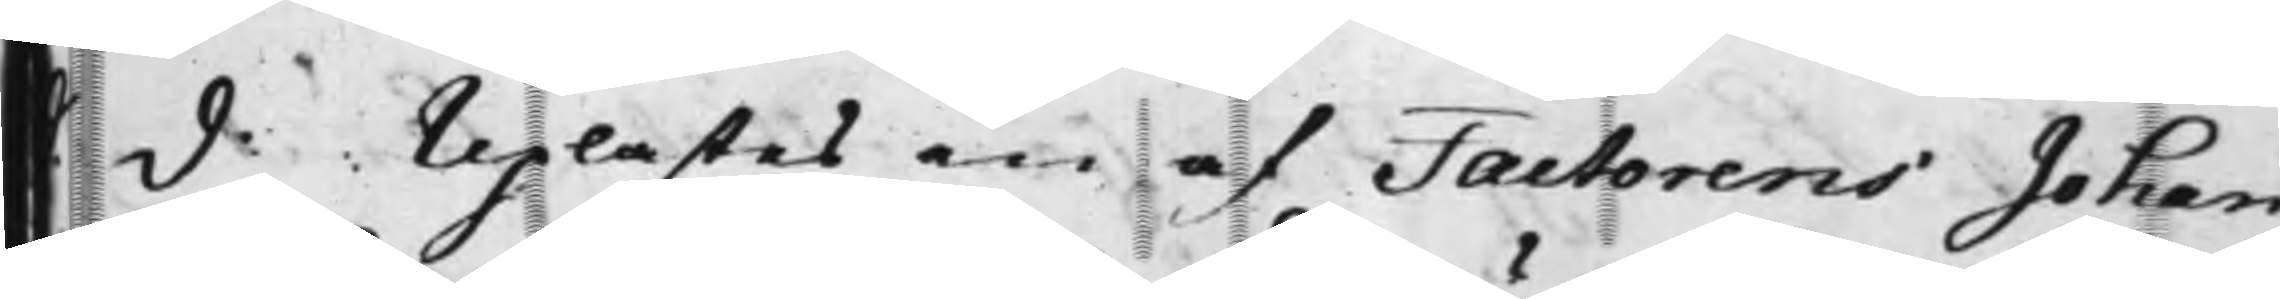S d. Uplästes en af Factorens Johan
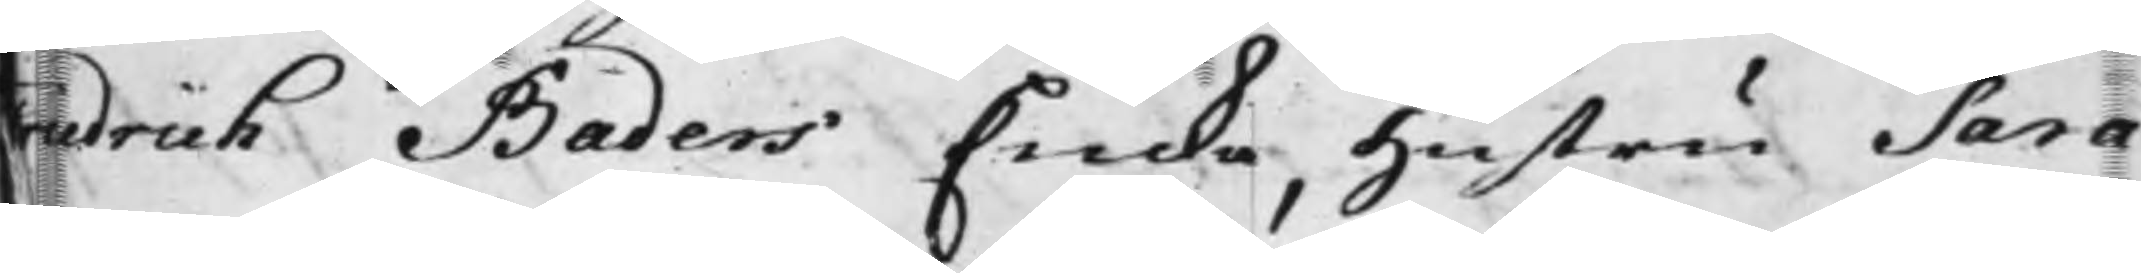Friedrich Baders Enka, hustru Sara
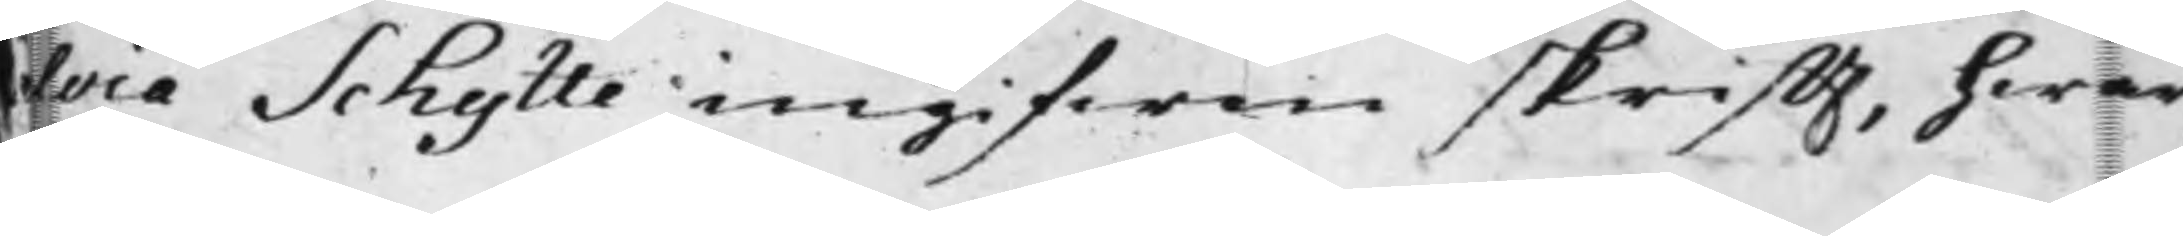alvia Schytte ingifwen skrifft, hwar¬
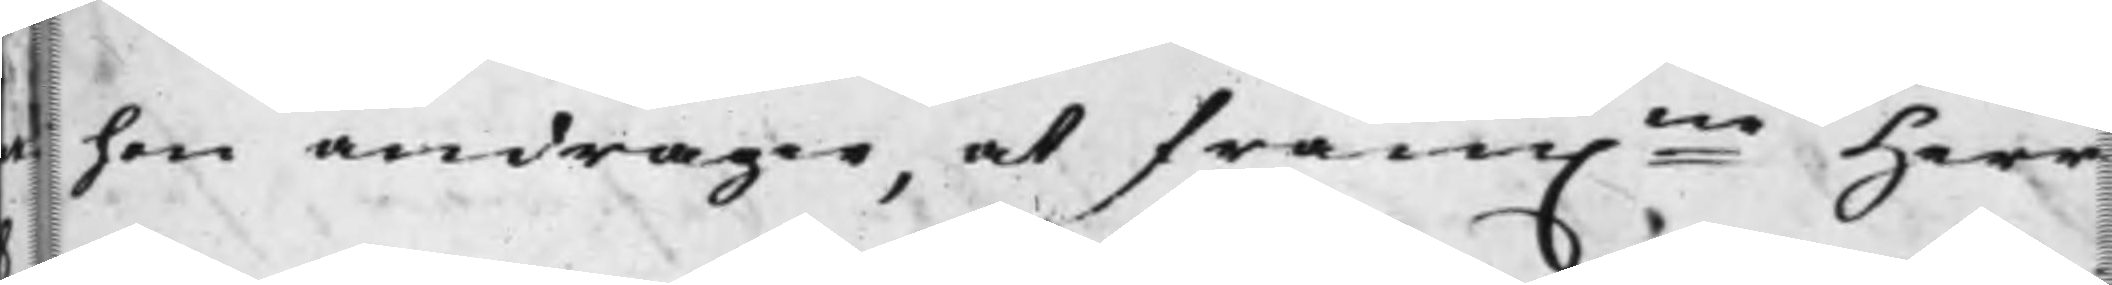uti hon andrager, at fram.ne Herr
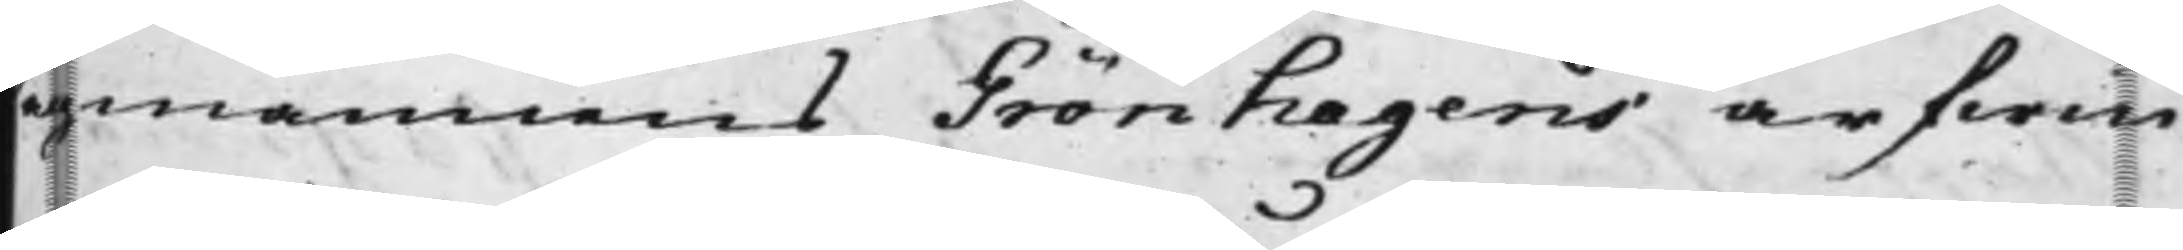Lagmannens Grönhagens arfwin¬
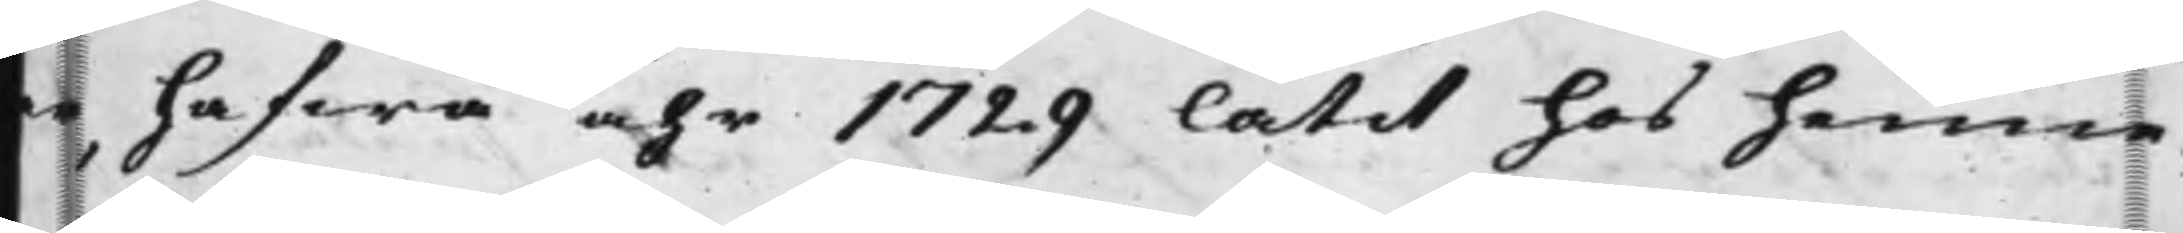ar, hafwa åhr 1729 låtit hos henne
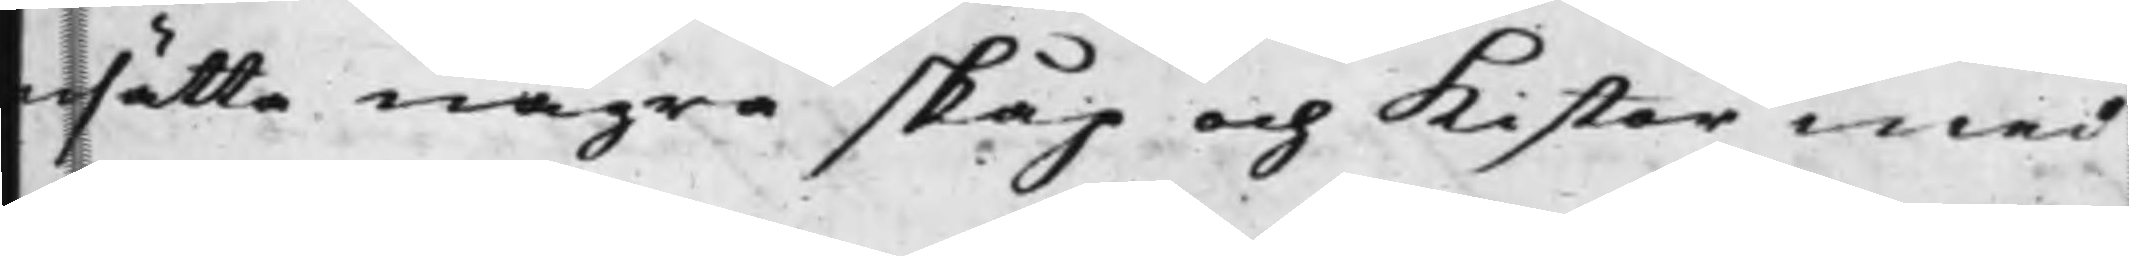ersätta några skåp och kistor med
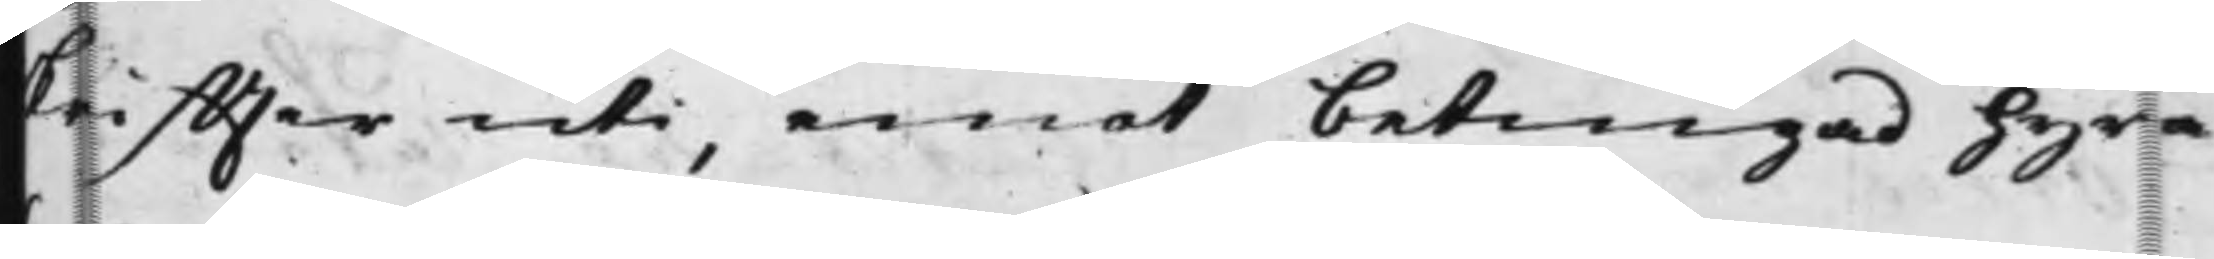skriffter uti, emot betingad Hyra
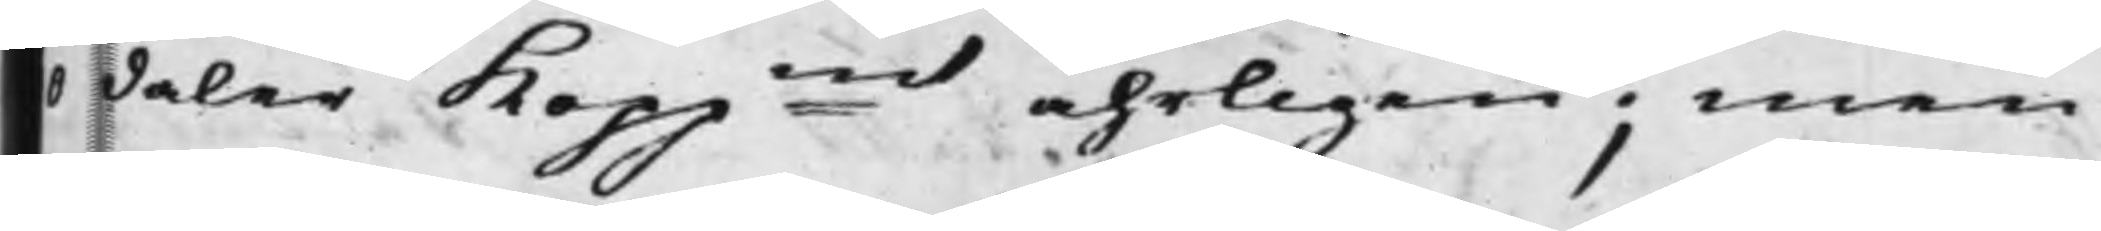0 daler Koppmt åhrligen; men
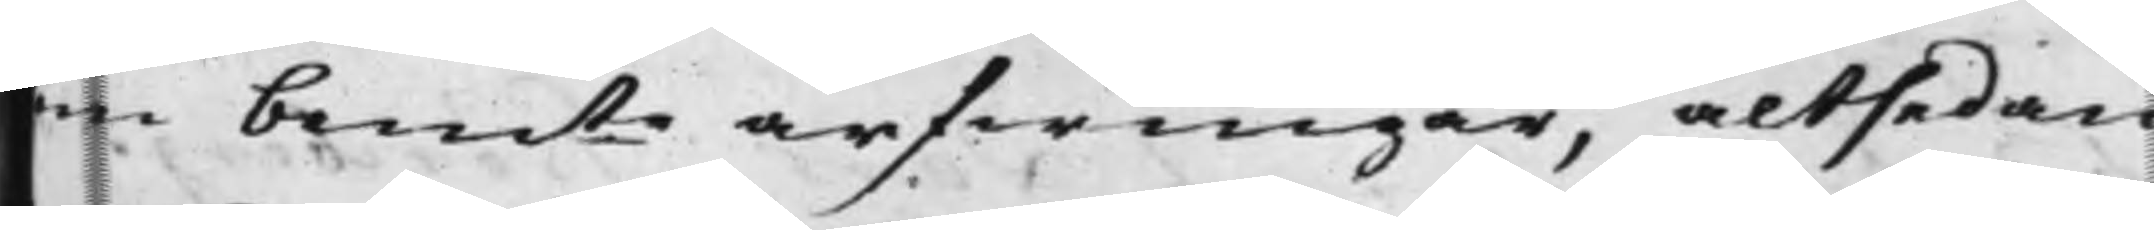sombemte arfwingar, altsedan
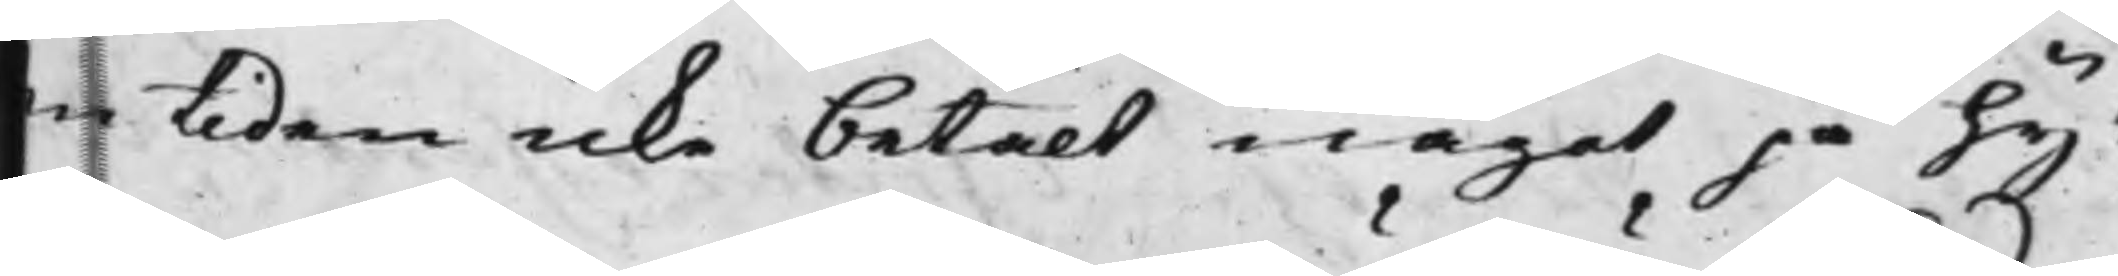en tiden icke betalt något på hy¬
